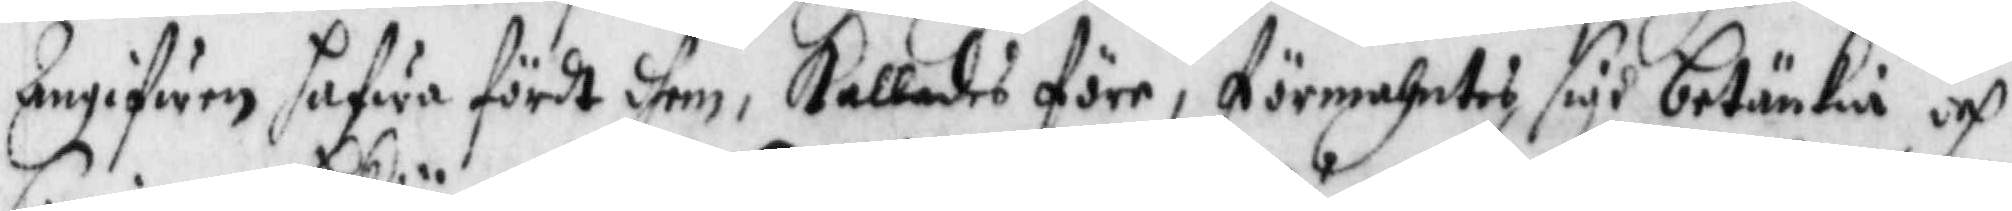Angifwen hafwa fördt dhem, Kallades före, förmahntes sigh betiänkia och
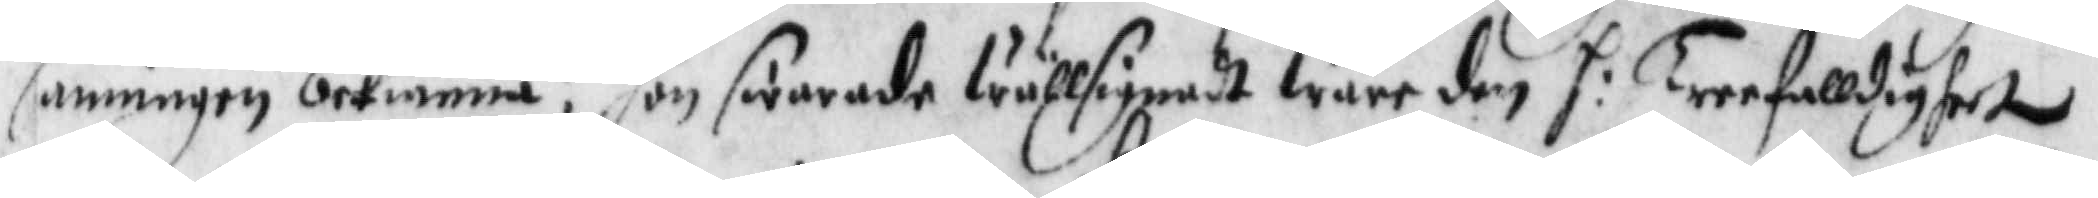sanningen bekiänna? hon swarade wällsignadt ware den h: Treefalldighet
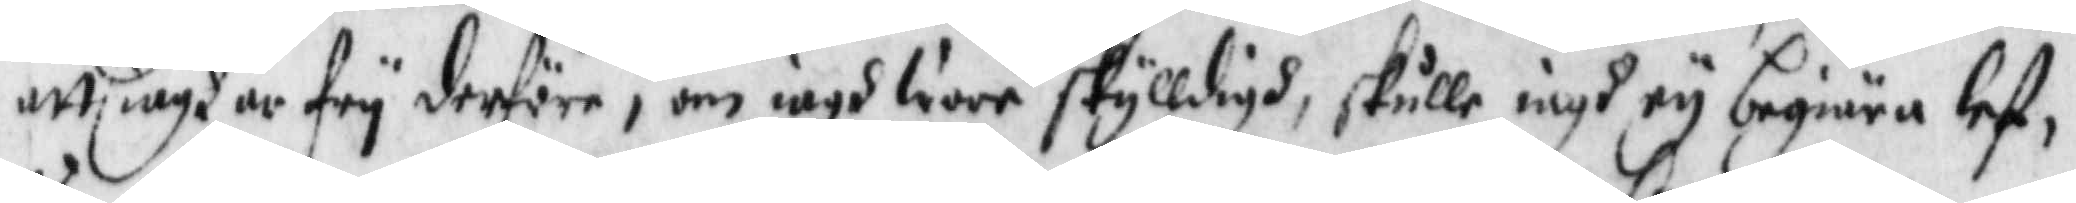att iagh ar fry derföre, om iagh wore skylldigh, skulle iagh ey begiära lef¬
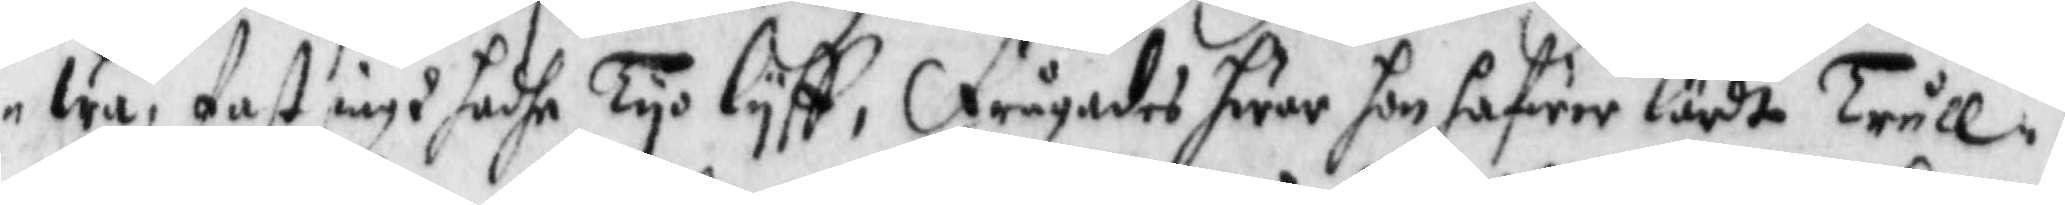wa, fast iagh hadhe Tyo lyff, frågades hwar hon hafwer lärdt Trull¬
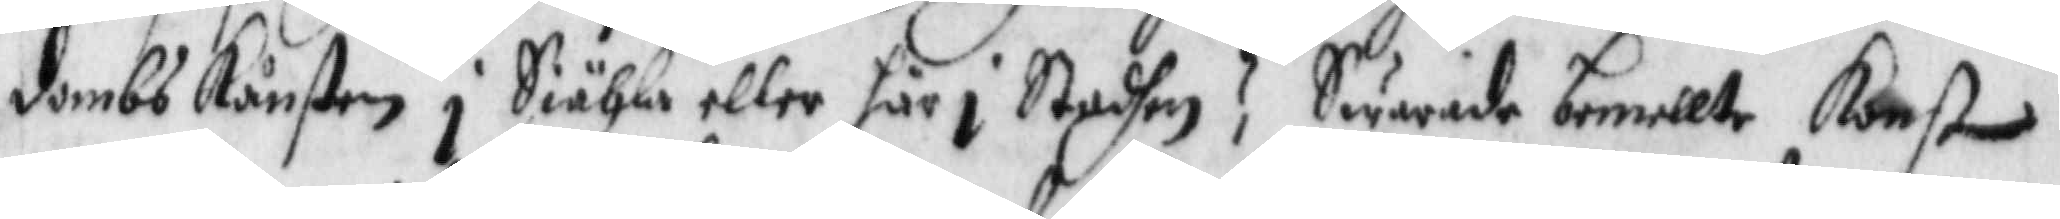dpmbs ånsten i Siähla eller här i Stadhen? Swarade bementle Konst
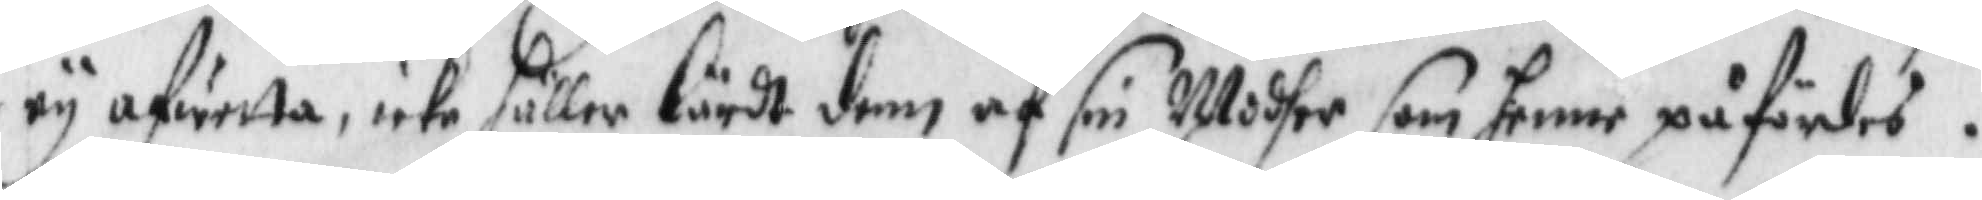ey afwetta, icke heller lärdt denn af sin Modher som henne påfördes.
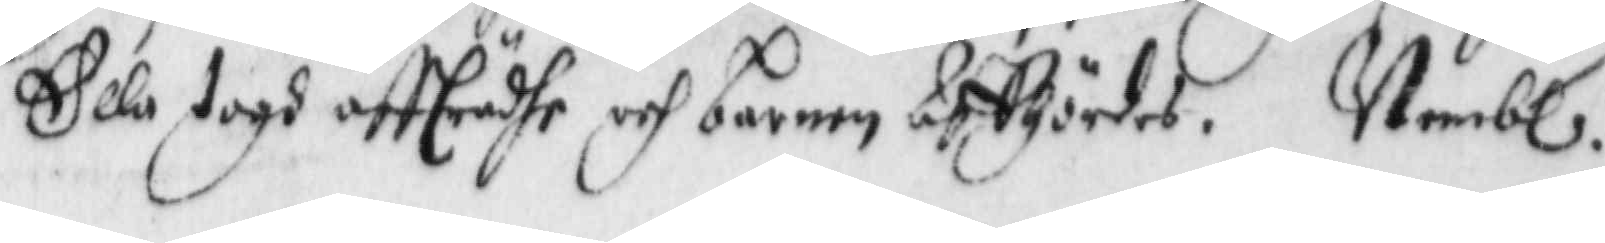Ella togh affträdhe och barnen Affhördes. Neml: 
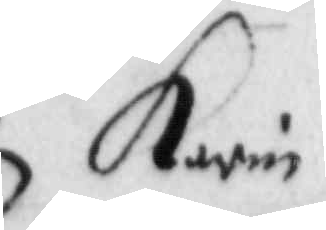Karin
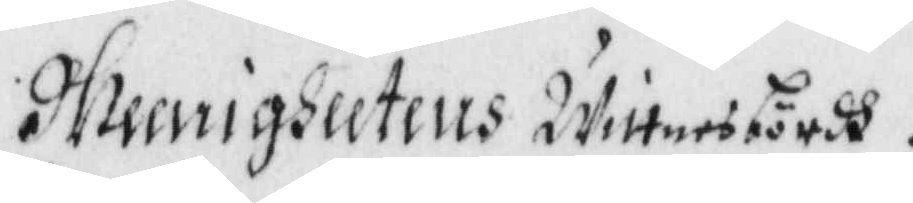Meenigheetens Wittesbördh.
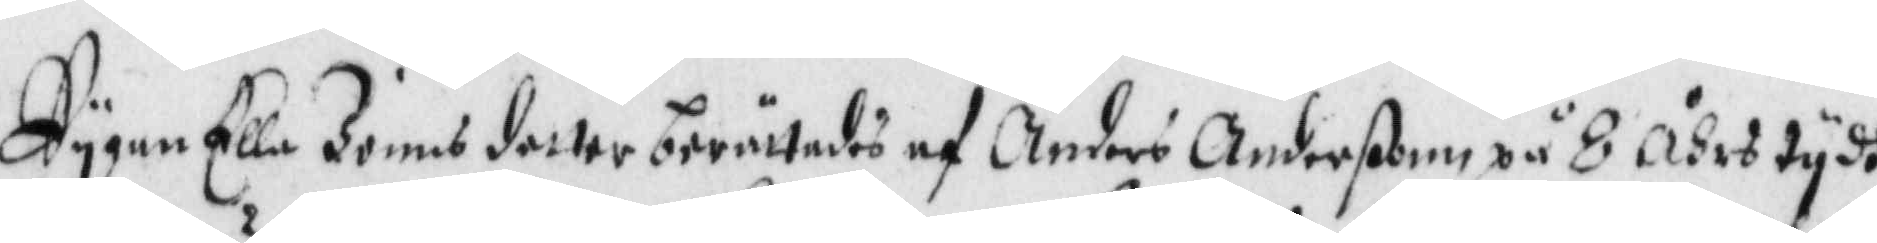Pygan Ella Jonns dotter berättades af Anders Anderßonn på 8 Åhrs tydh
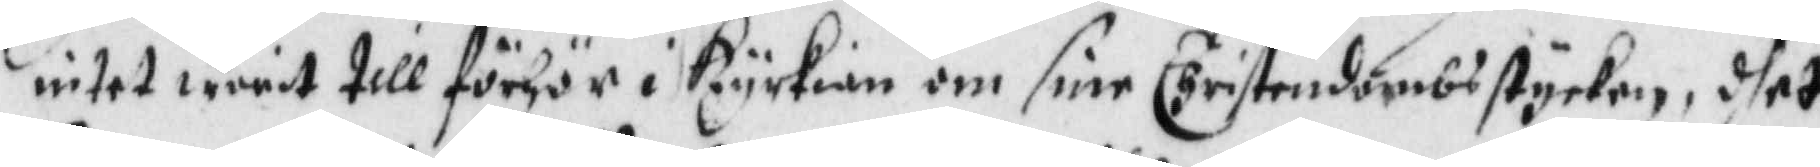intet warit till förhör i Kyrkian om sine Christendombsstycken, dhet
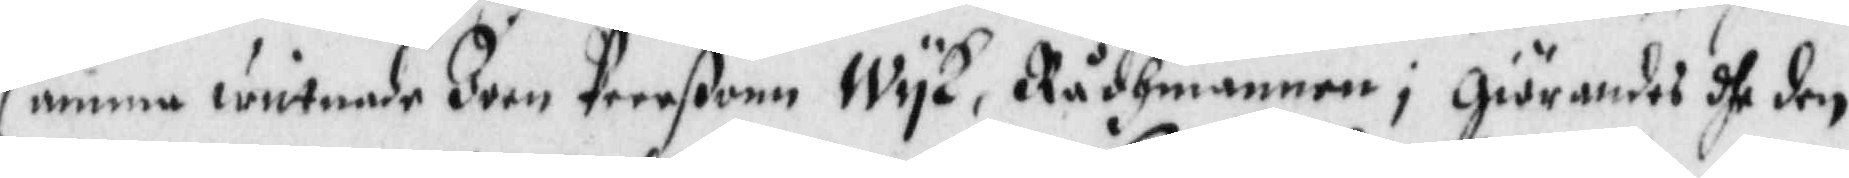samma wittnade Joen Peerßonn WyK, Rådhmannen i Giörandes dhe den
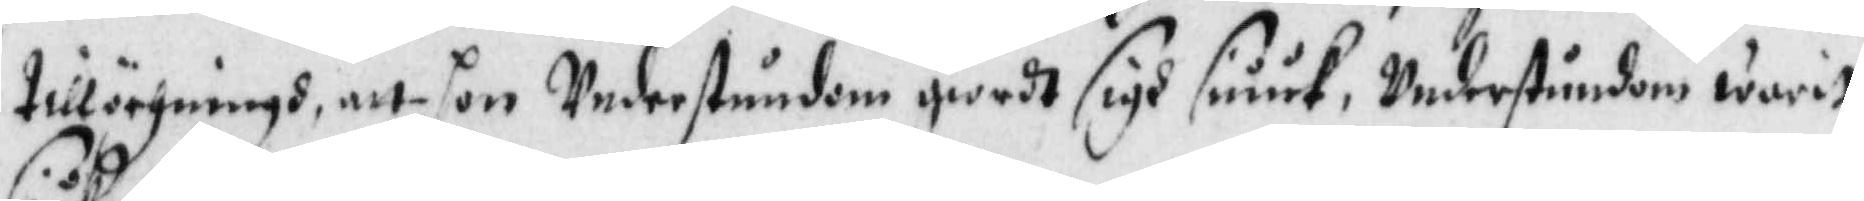tillöcgningh, att hon Understundom giordt sigh siuuk, Understundm warit
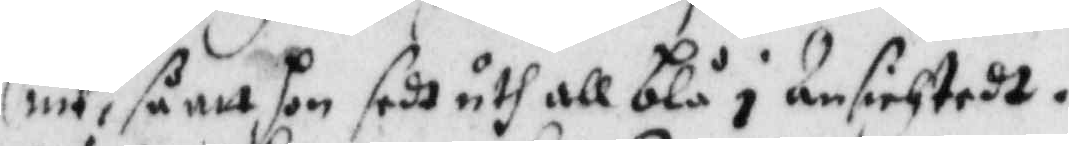siuk, s att hon sedt uth all blå i Ansichtedt.
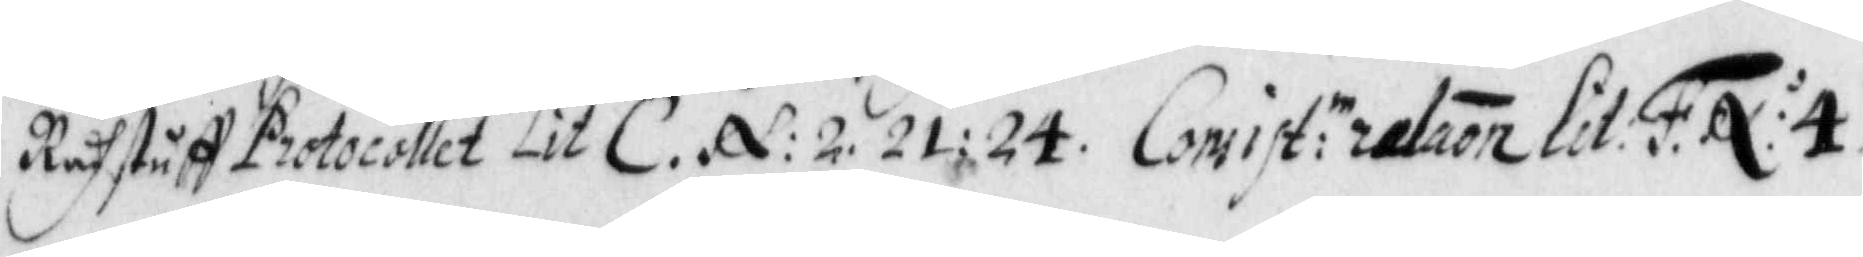Rådhstuff Protocollet Lit C. N: 2. 21: 24. Consist:ie relaon Lit: F. N: 4.
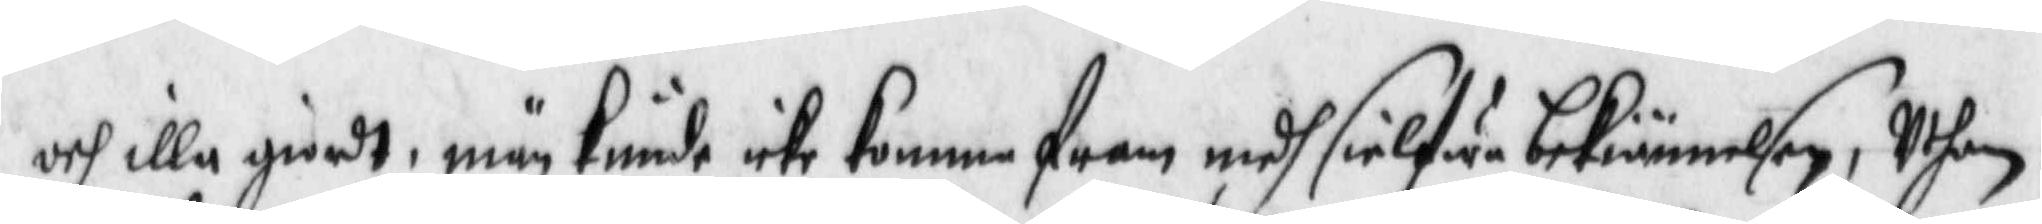och illa giordt, män kunde icke komma fram medh sielfwa bekiännelsen, Uthan
